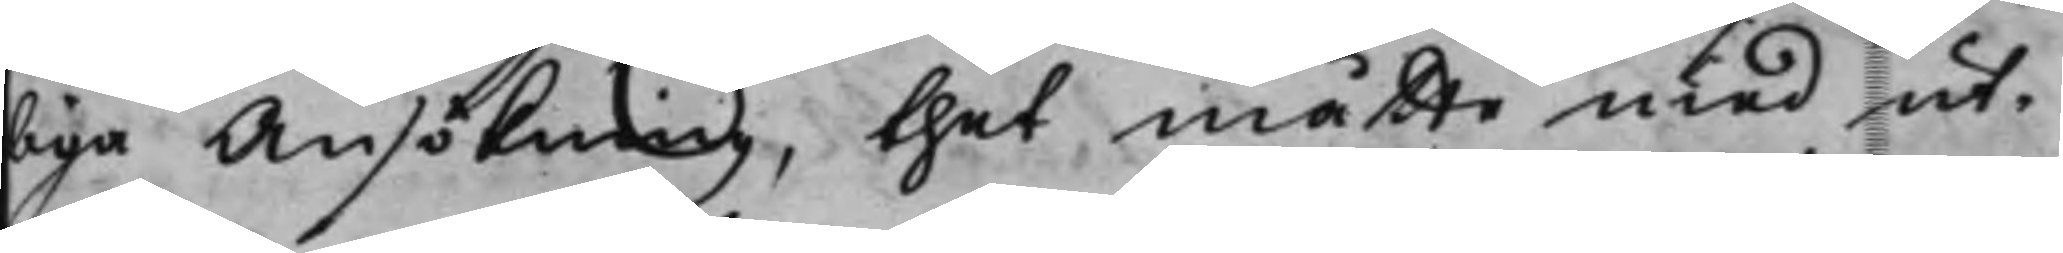liga Ansökning, thet måtte med ut¬
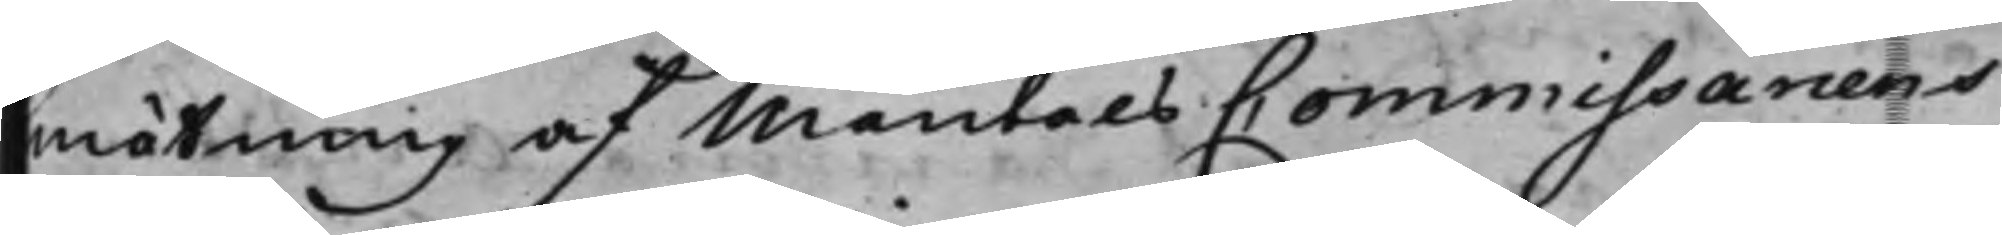mätning af MantalsCommissariens
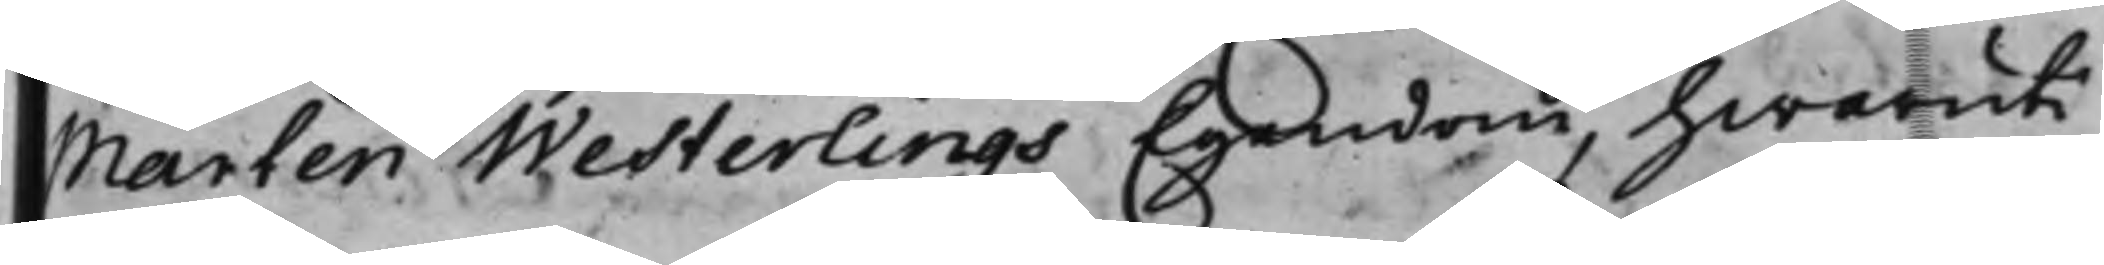Mårten Westerlings Egendom, hwaruti
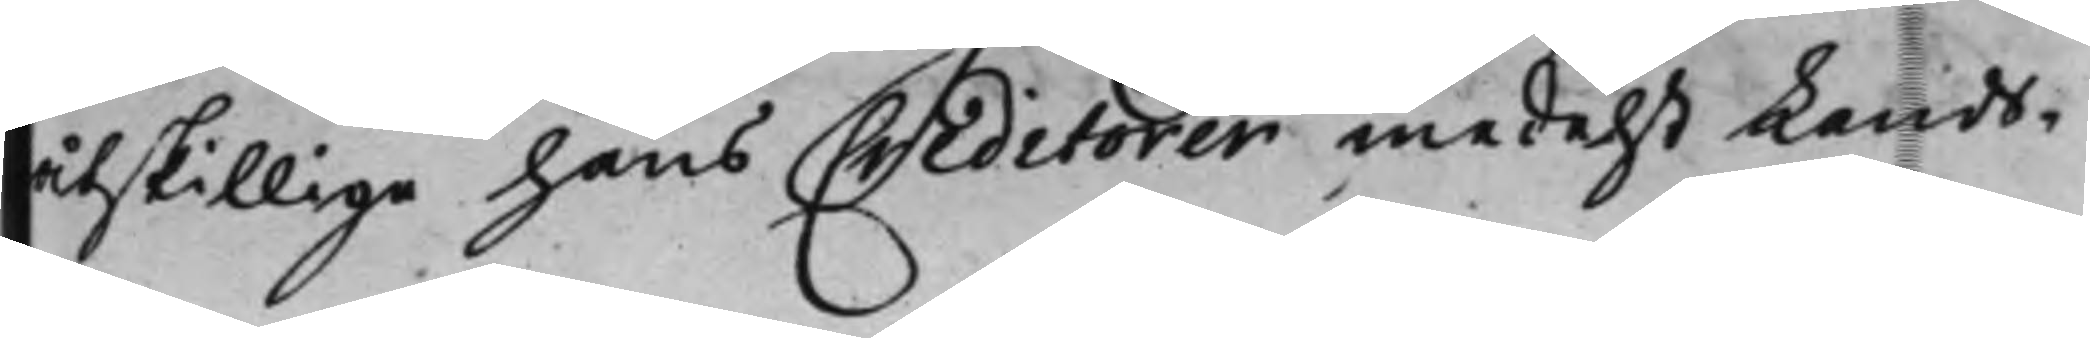åtskillige hans Creditorer medelst Lands¬
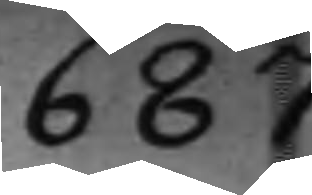687
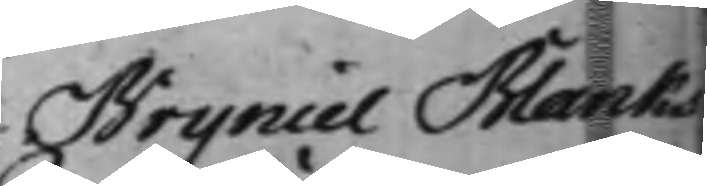Bryniel Blanks
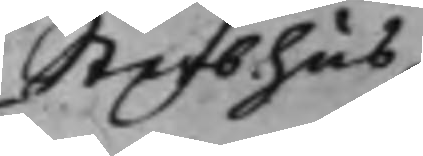Sterbhus
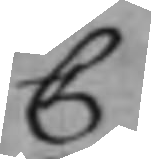C
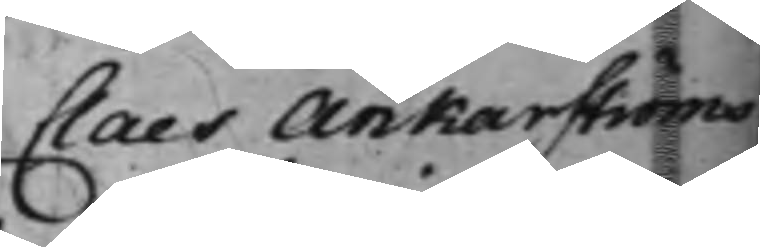Claes Ankarströms
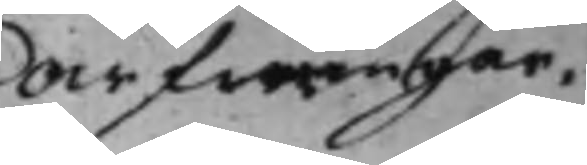arfwingar.
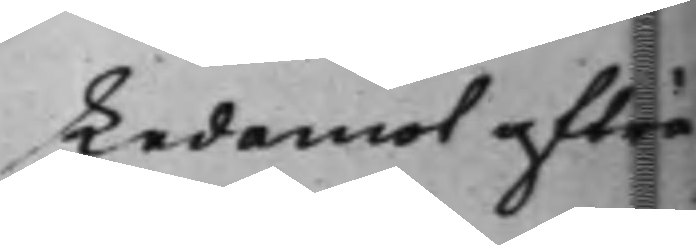Ledamot afträ¬
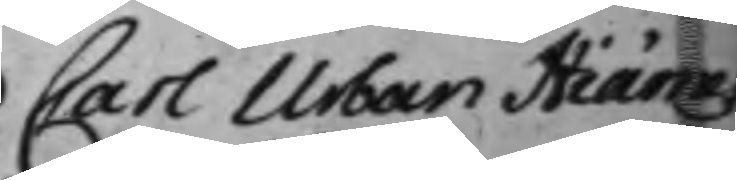Carl Urban Hiärnes
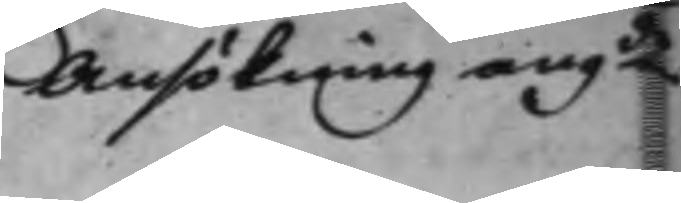Ansökning angde
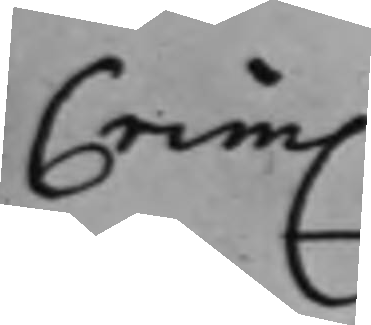Crim.
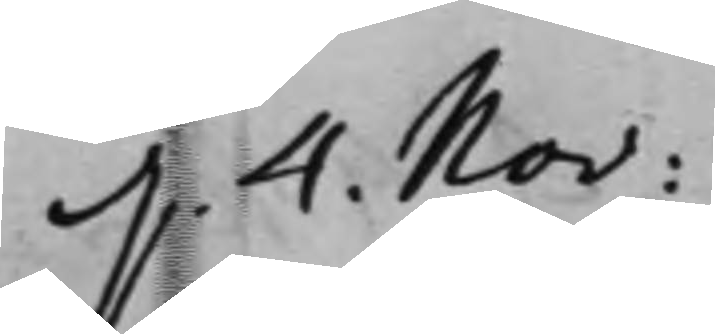d. 4. Nov:
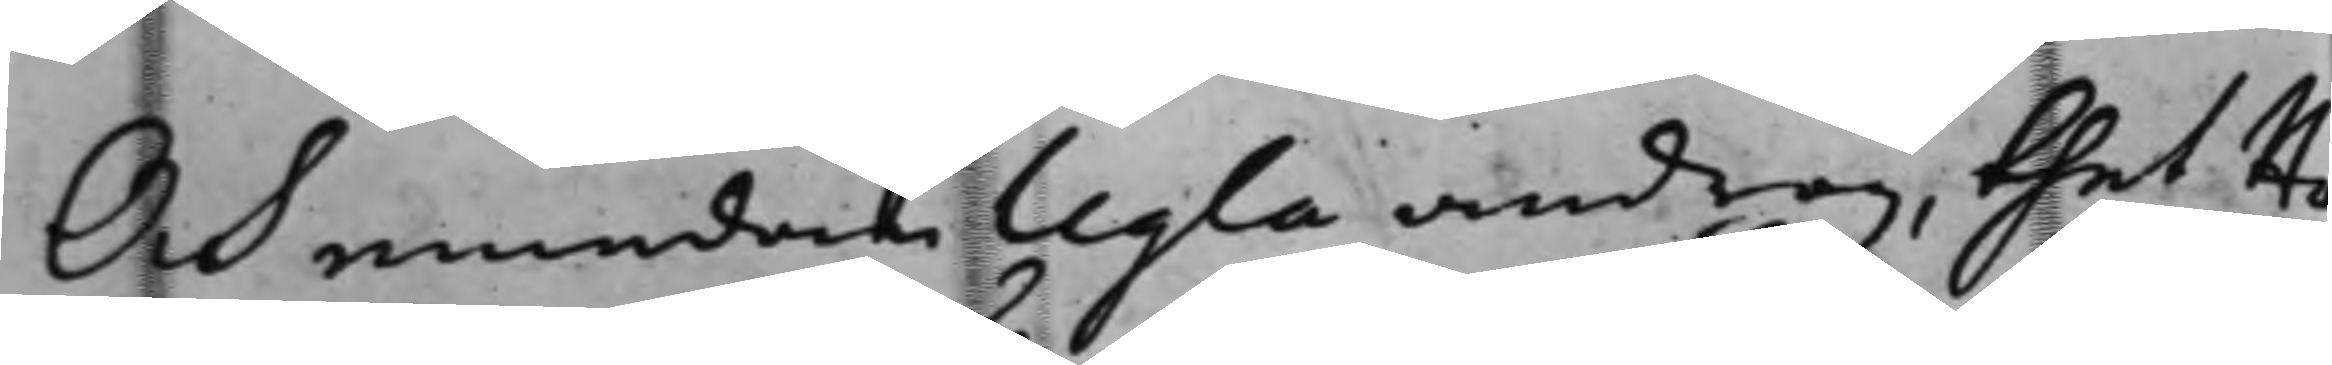Och emedan Ugla androg, thet Hie¬
